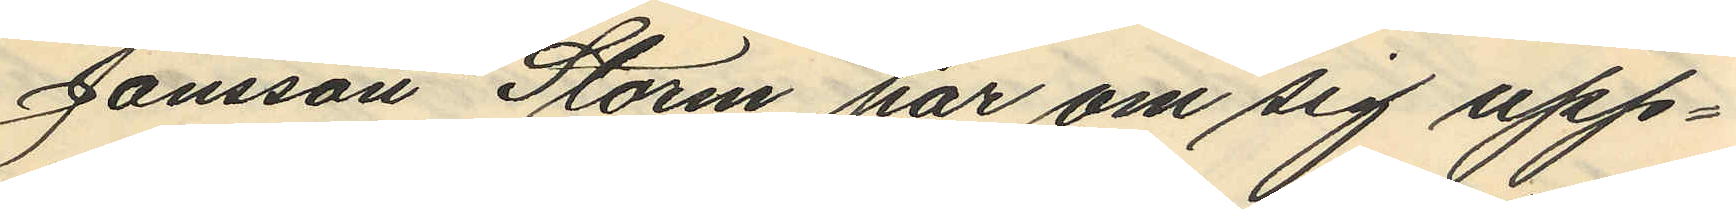Jönsson Storm har om sig upp¬
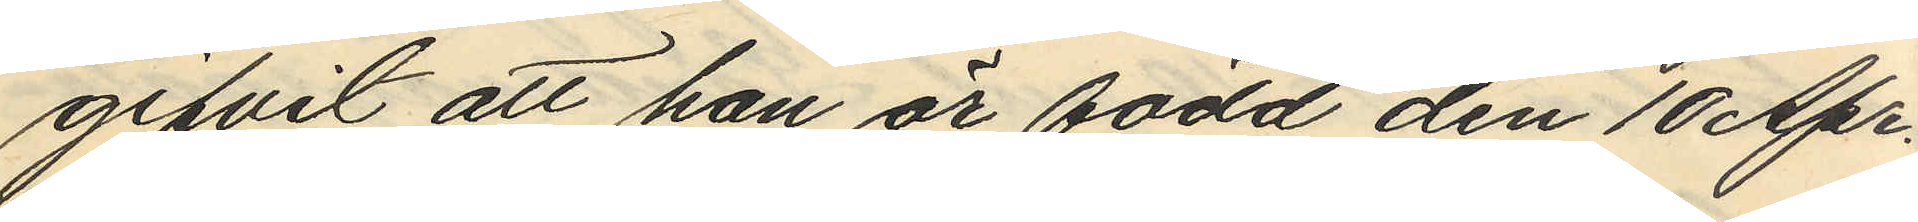gifvit att han är född den 10 Apr.
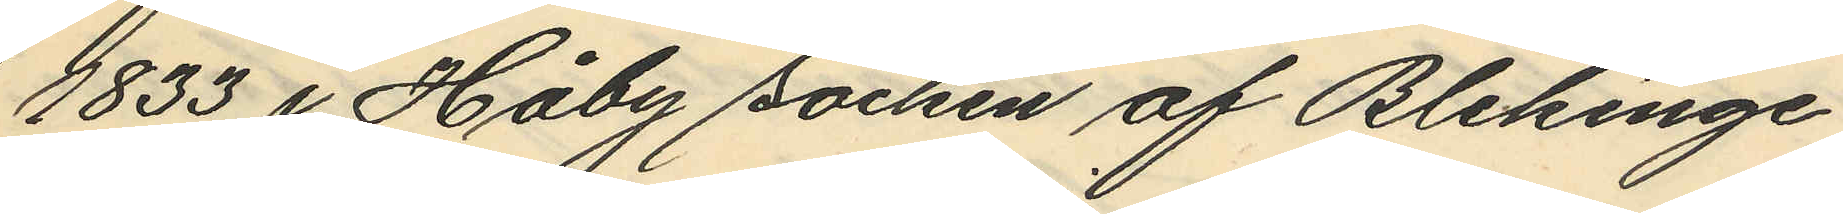1833 i Håby socken af Blekinge
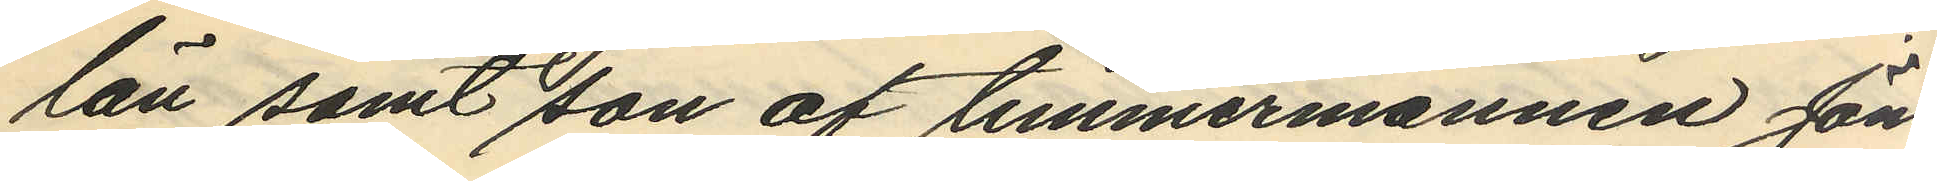län samt son af timmermannen Jöns
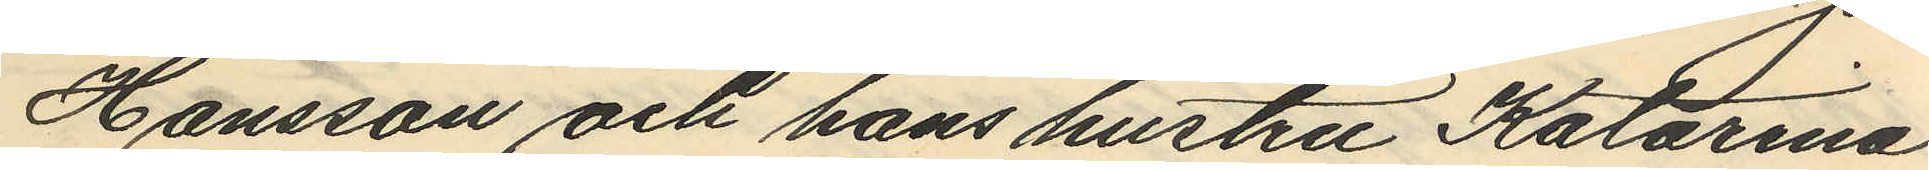Hansson och hans hustru Katarina
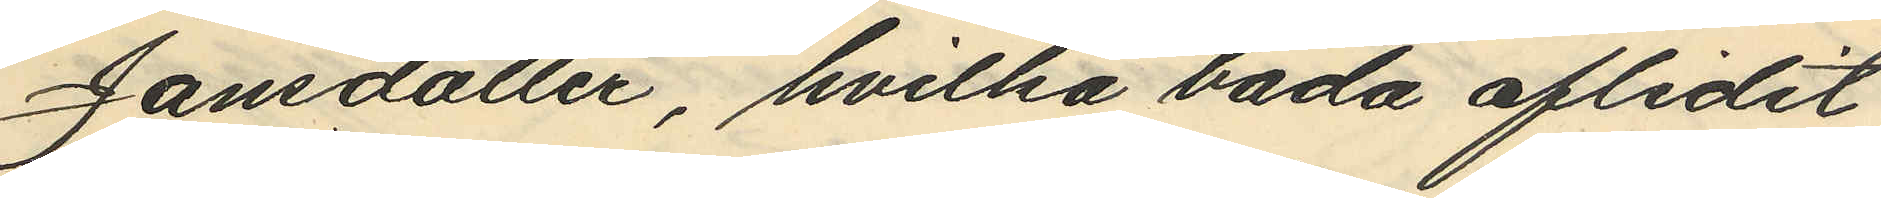Jansdotter, hvilka båda aflidit,
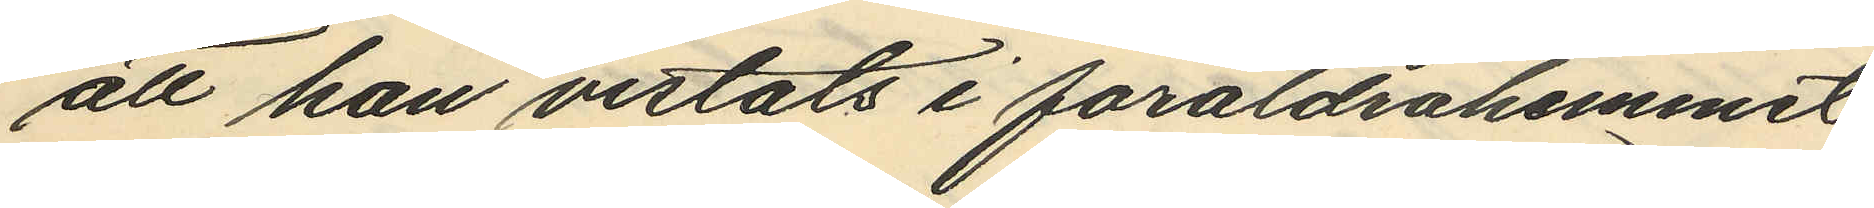att han vistats i föräldrahemmet
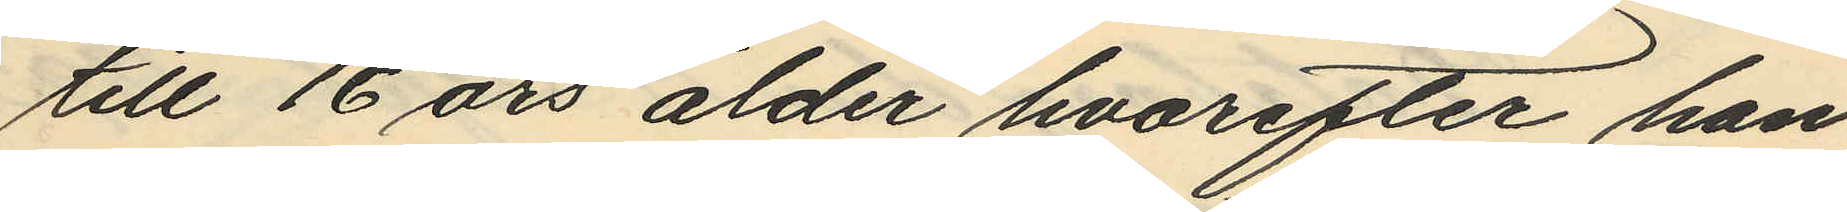till 16 års ålder hvarefter han
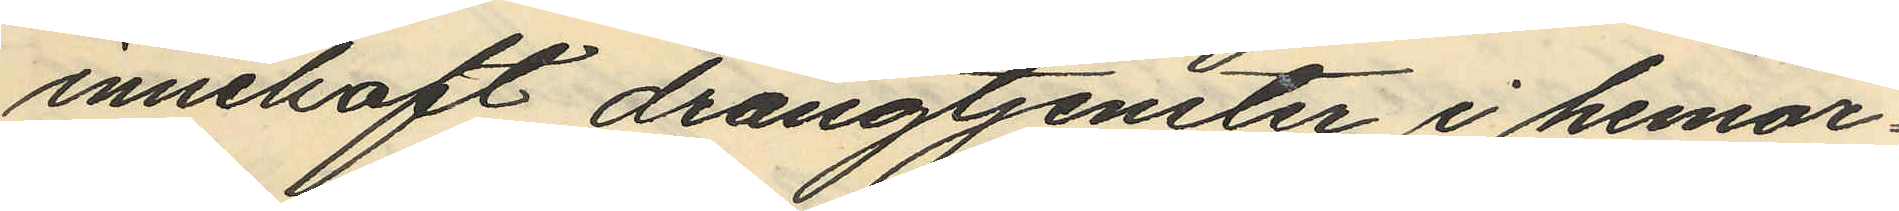innehaft drängtjenster i hemor¬
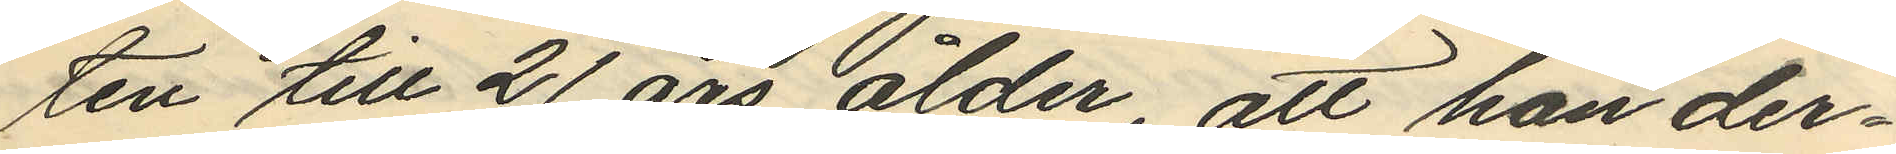ten till 21 års ålder, att han der¬
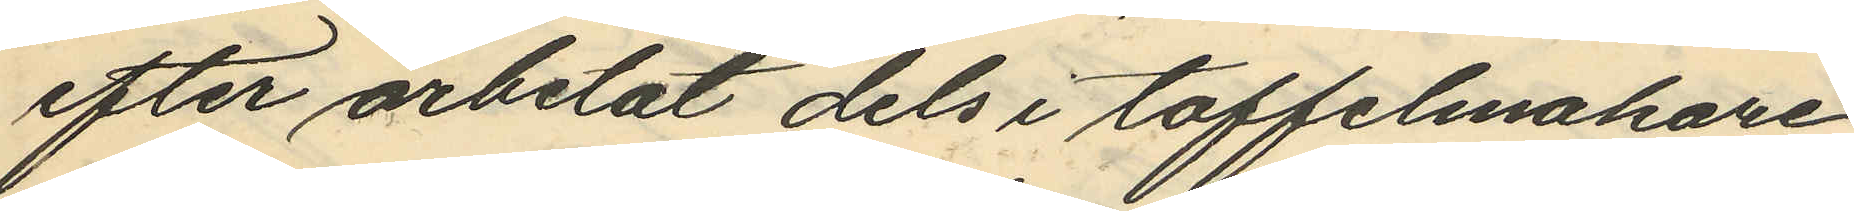efter arbetat dels i toffelmakare
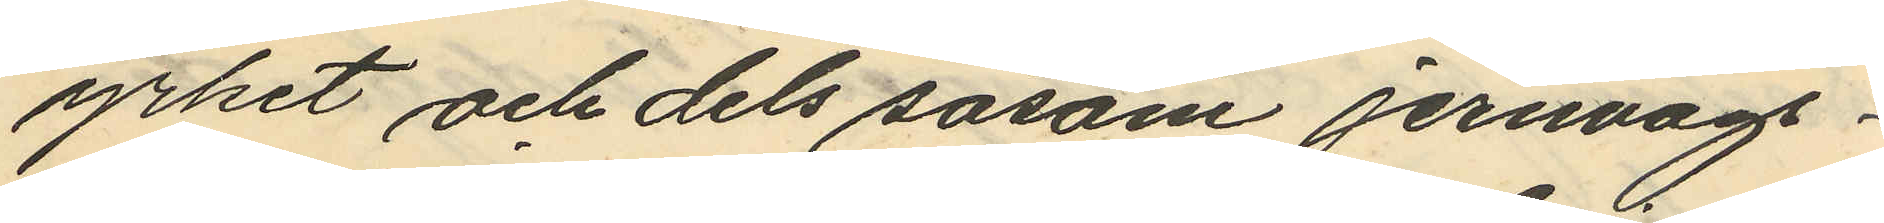yrket och dels såsom jernvägs¬
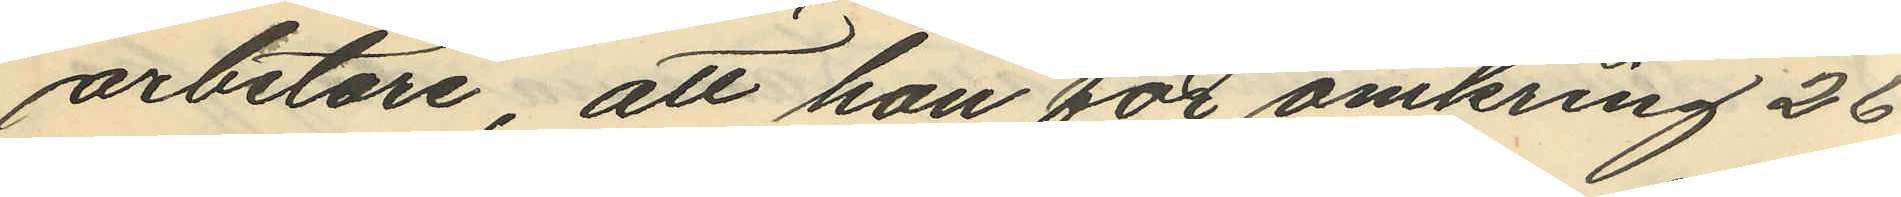arbetare, att han för omkring 26
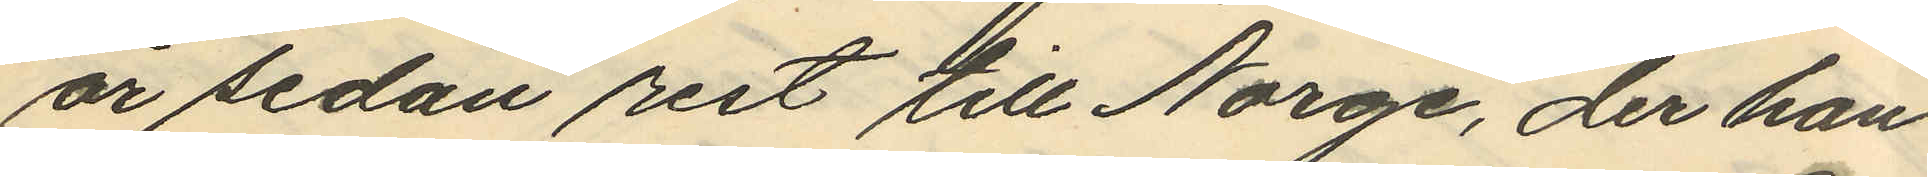år sedan rest till Norge, der han
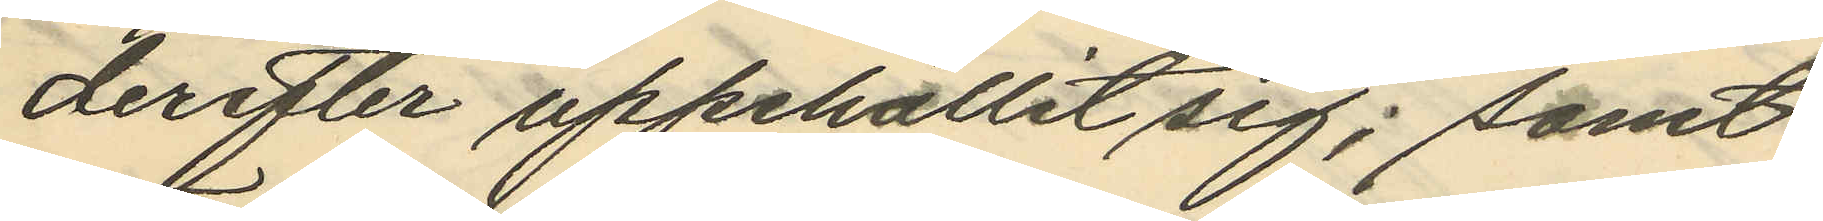derefter uppehållit sig; samt
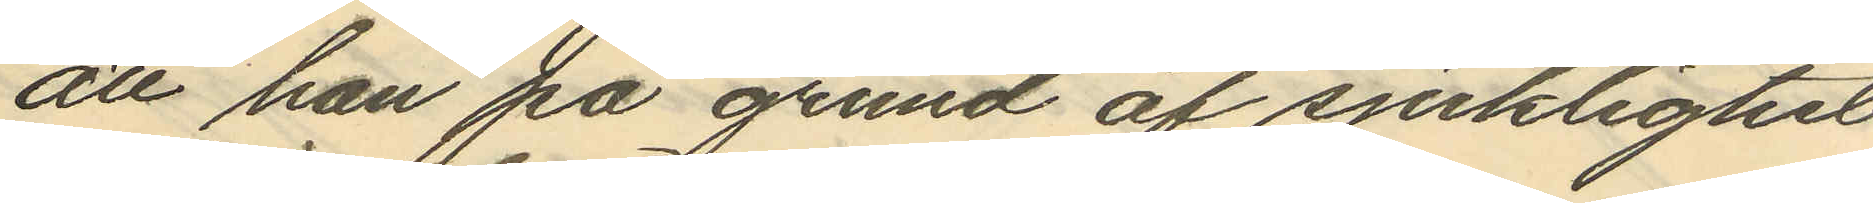att han på grund af sjuklighet
